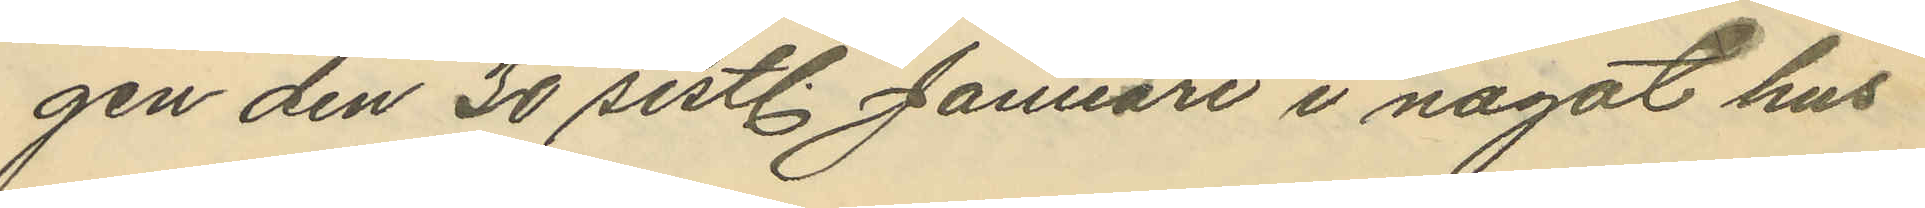gen den 30 sistl. Januari i något hus
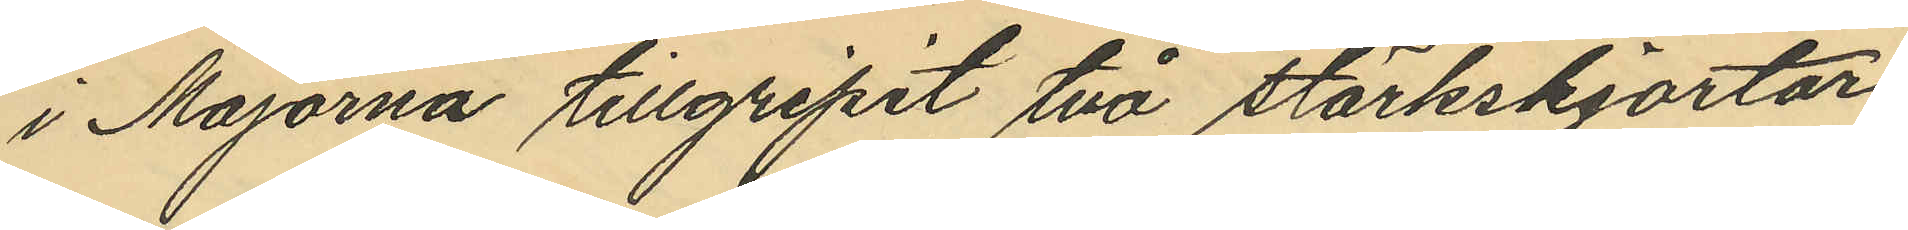i Majorna tillgripit två stärkskjortor,
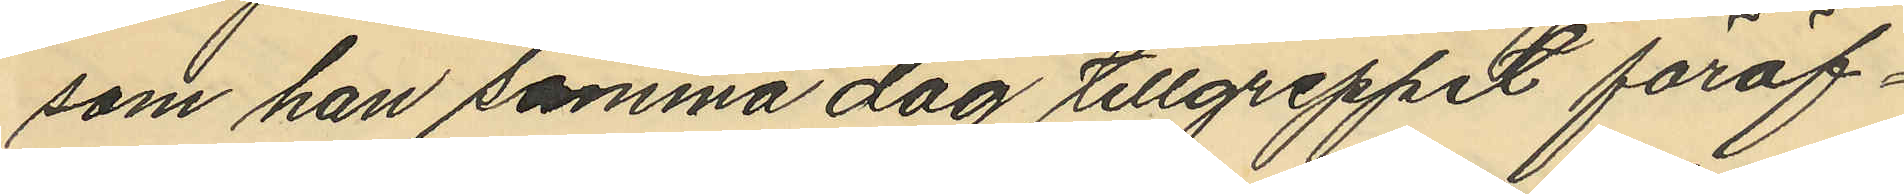som han samma dag tillgreppet föröf¬
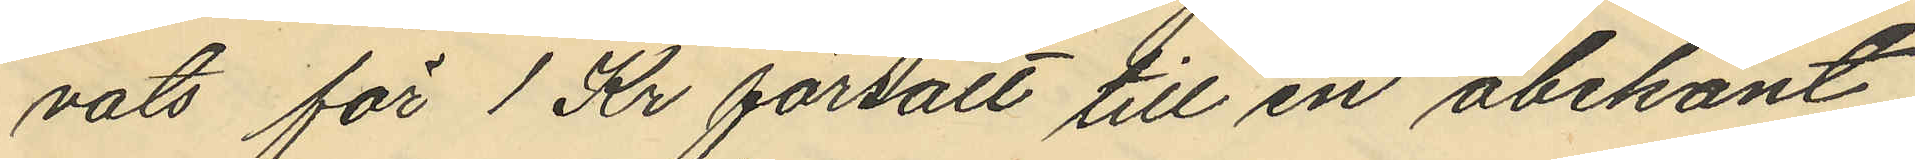vats för 1 Kr försålt till en obekant
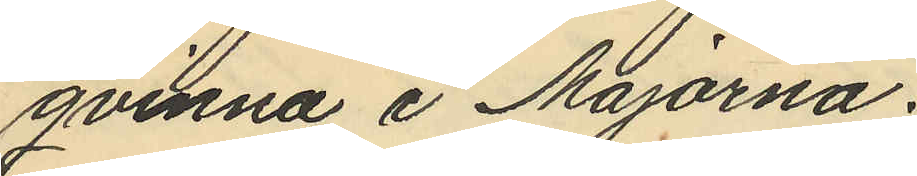qvinna i Majorna.
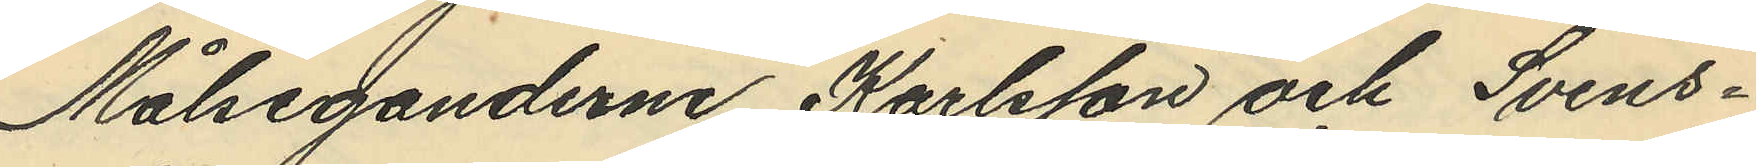Målseganderne Karlsson och Svens¬
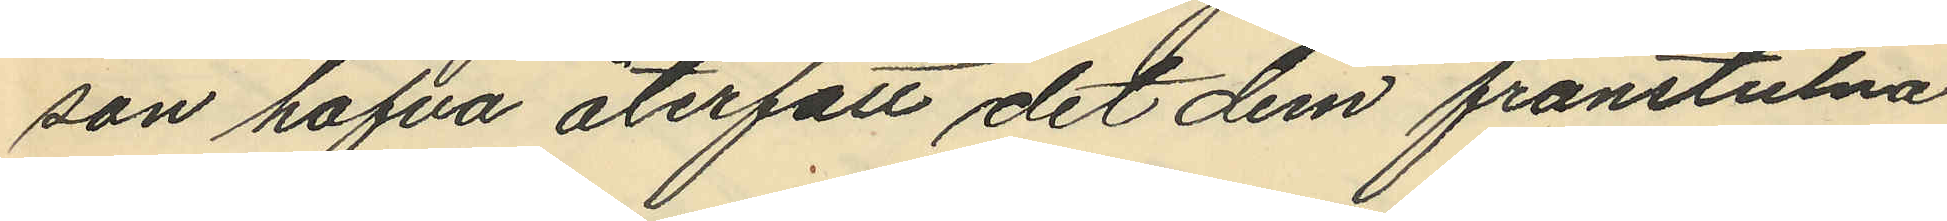son hafva återfått det dem frånstulna
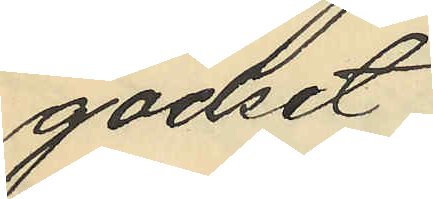godset
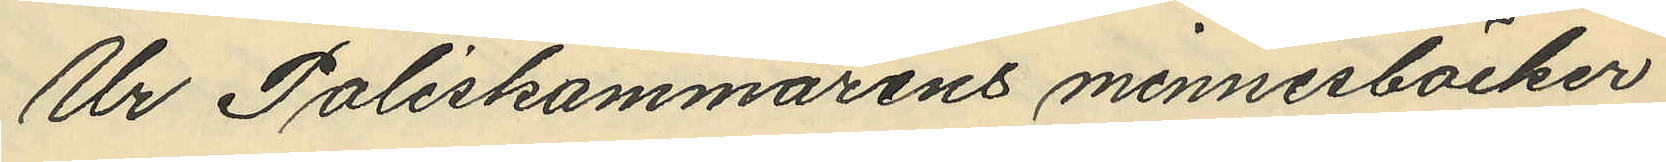Ur Poliskammarens minnesböcker
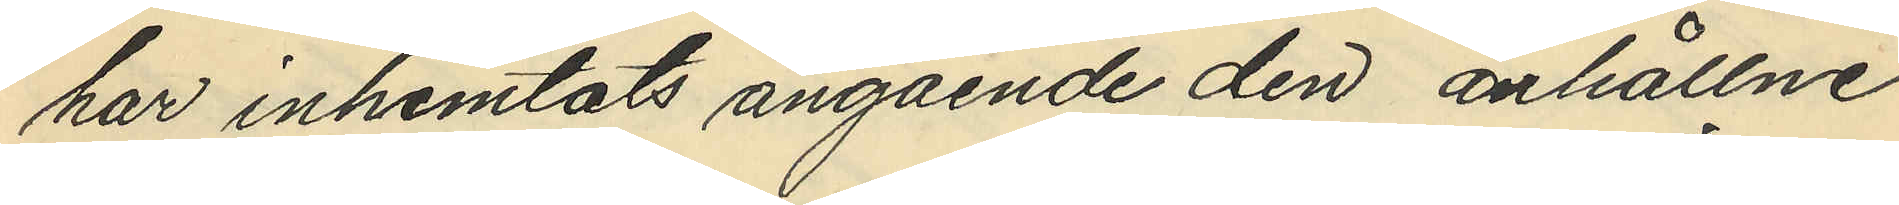har inhemtats angående den anhållne
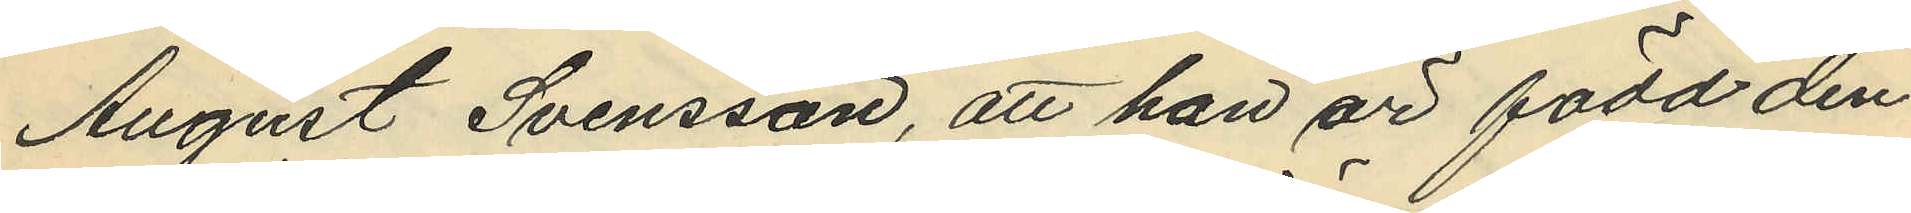August Svensson, att han är född den
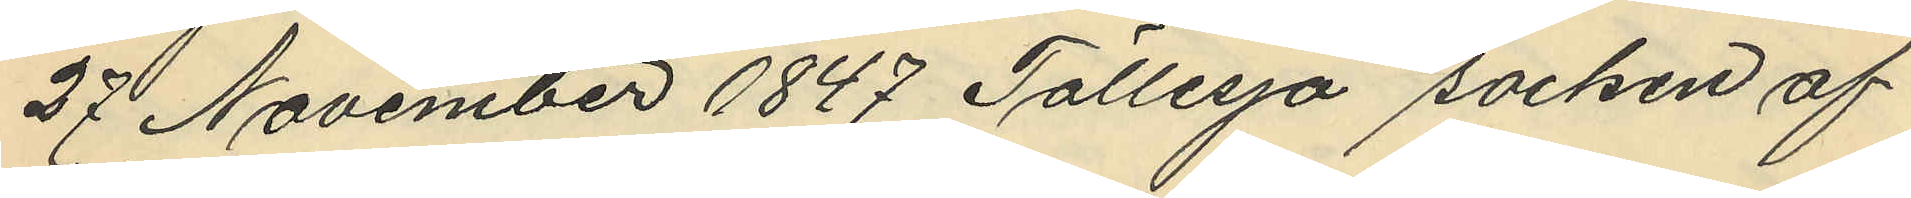27 November 1847 Töllesjö socken af
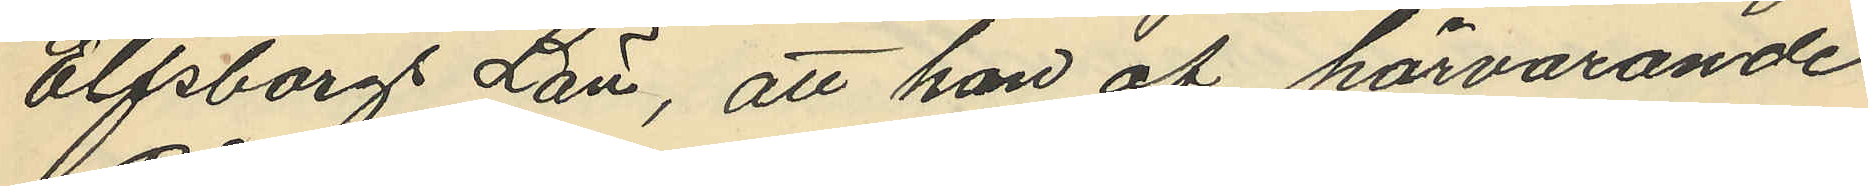Elfsborg Län, att han af härvarande
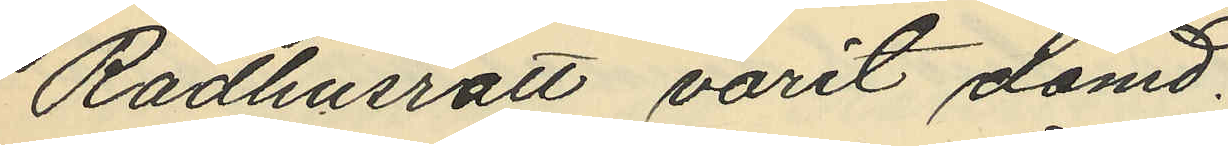Rådhusrätt varit dömd
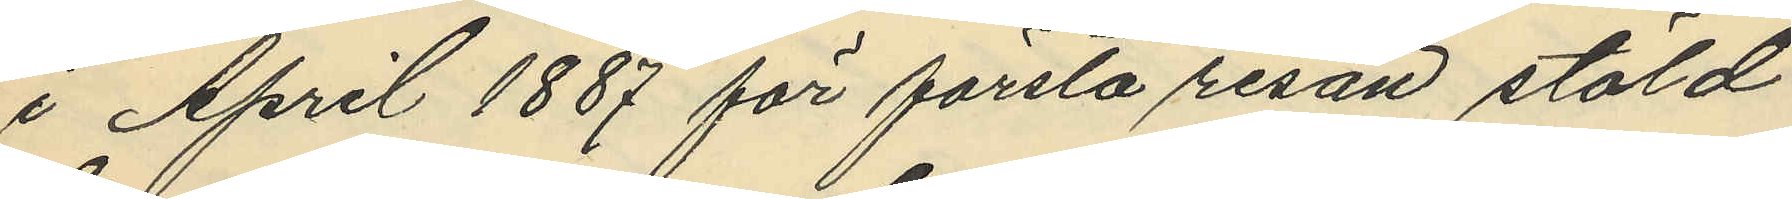i April 1887 för första resan stöld
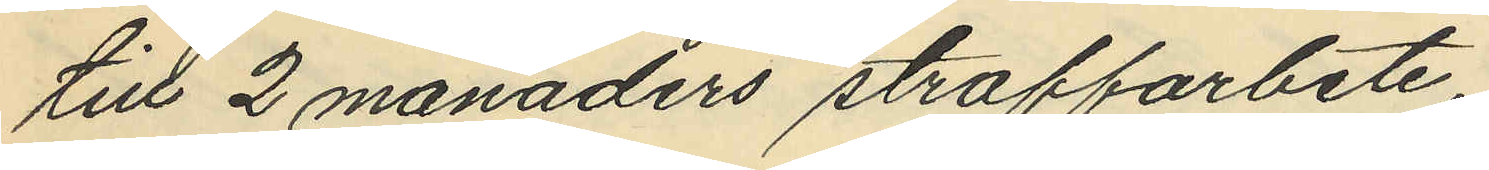till 2 månaders straffarbete,
